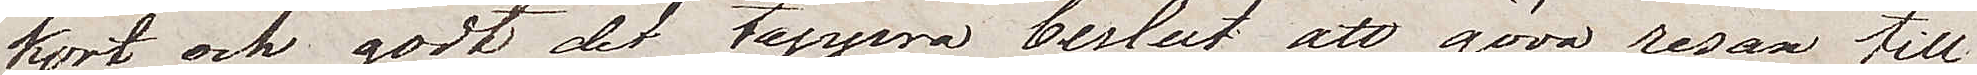kort och godt det tappra beslut att göra resan till
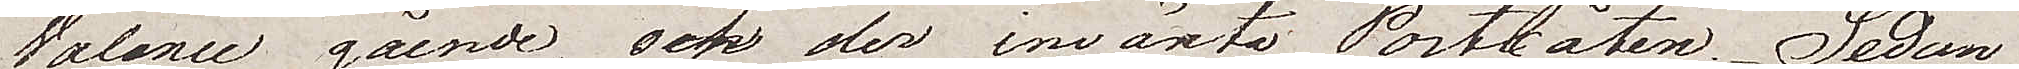Valence gående, och der invänta Postbåten. Sedan
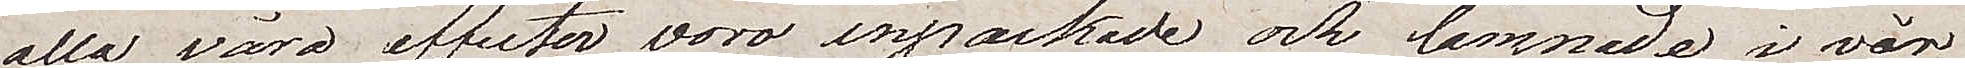alla våra effekter voro inpackade och lämnade i vår
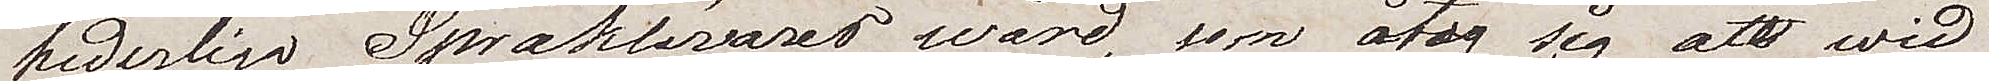hederliga Språklärares vård, som åtog sig att wid
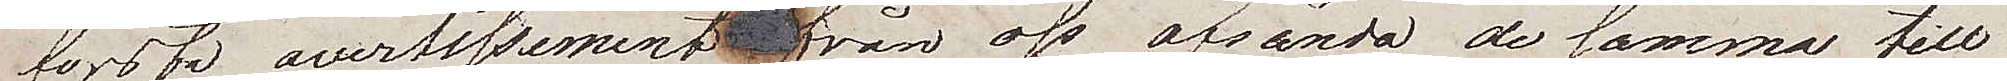första avertissement  från oss afsända desamma till
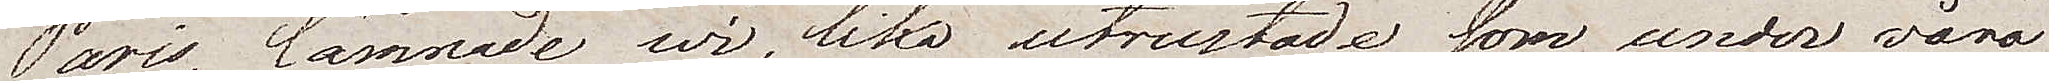Paris, lämnade wi. lika utrustade som under våra
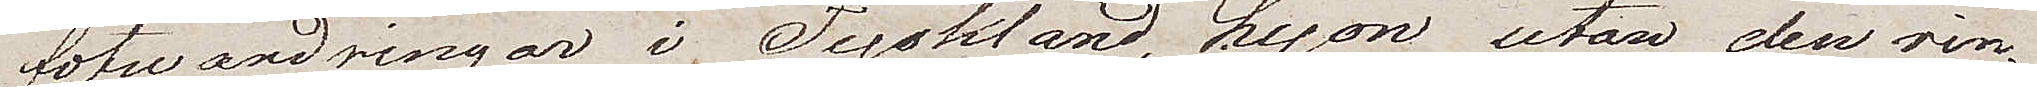fotvandringar i Tyskland, Lyon utan den rin¬
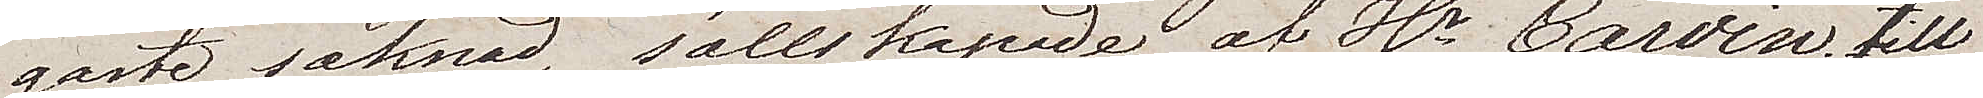gaste saknad, sällskapade av Hr. Carvin, till
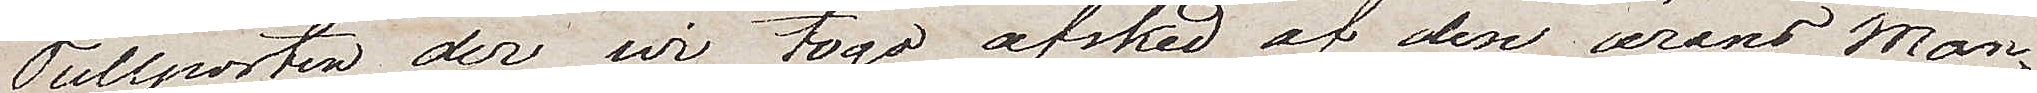Tullporten der wi togo afsked af den ärans Man¬
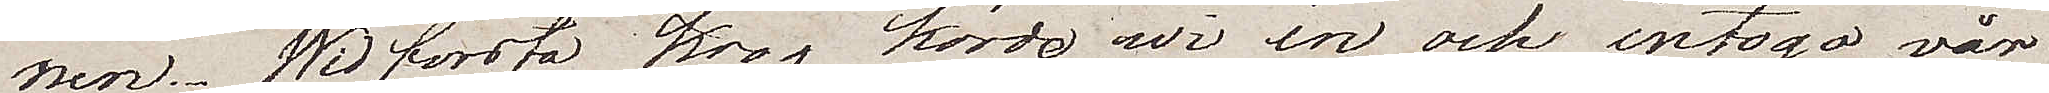nen. Wid första krog körde vi in och intogo vår
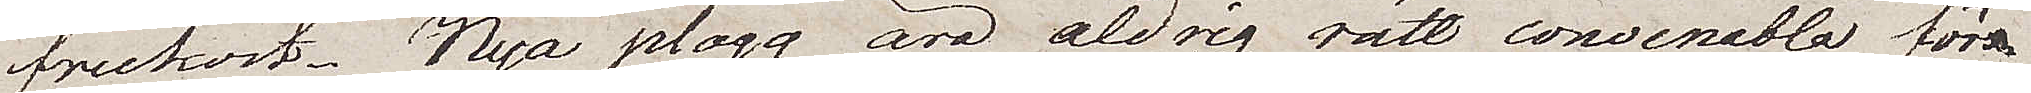frukost. Nya plagg äro aldrig rätt convenabla för¬
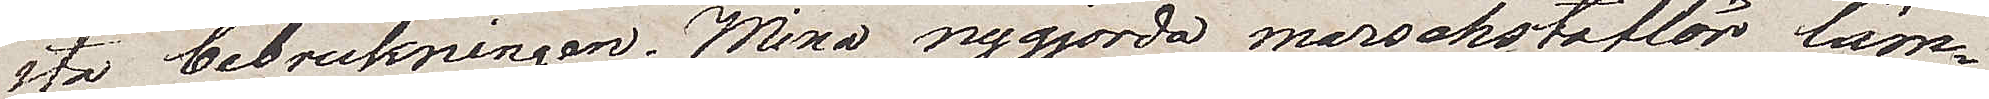sta bebrukningen. Mina nygjorda marockotofflor läm¬
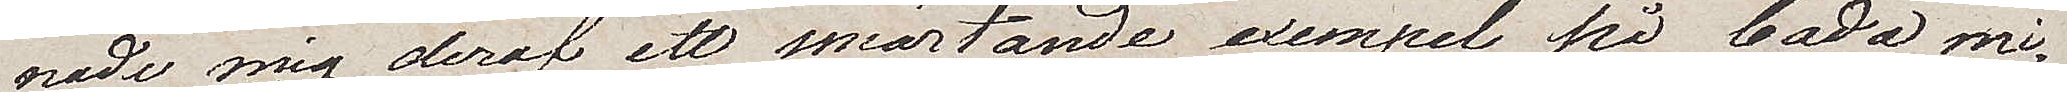nade mig deraf ett smärtande exempel på båda mi¬
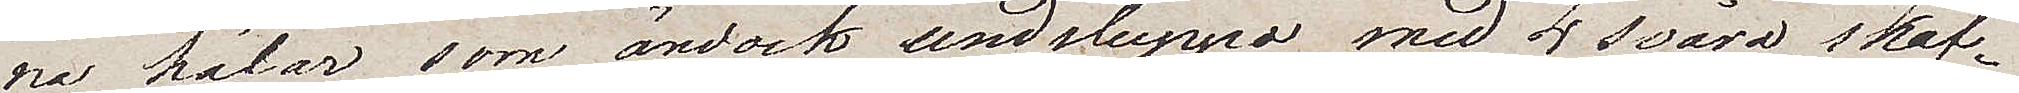na hälar som ändock undsluppo med 4 svåra skaf¬
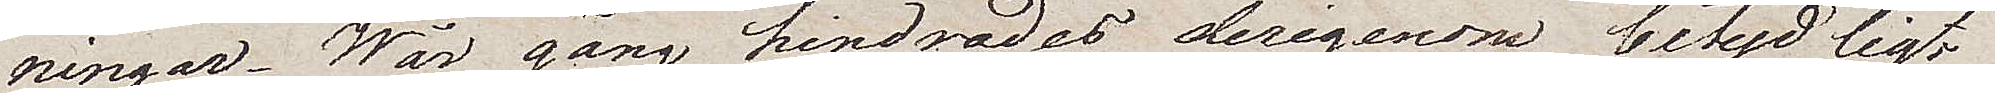ningar. Vår gång hindrades derigenom betydligt
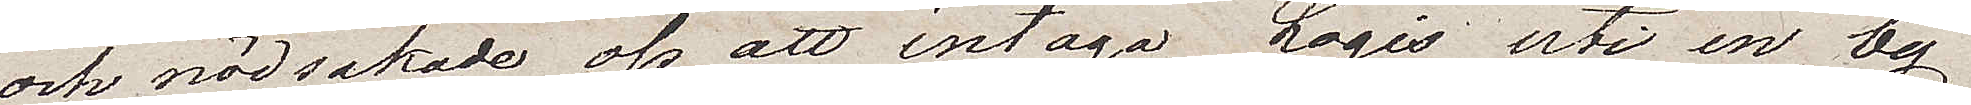och nödsakade oss att intaga Logis uti en by
